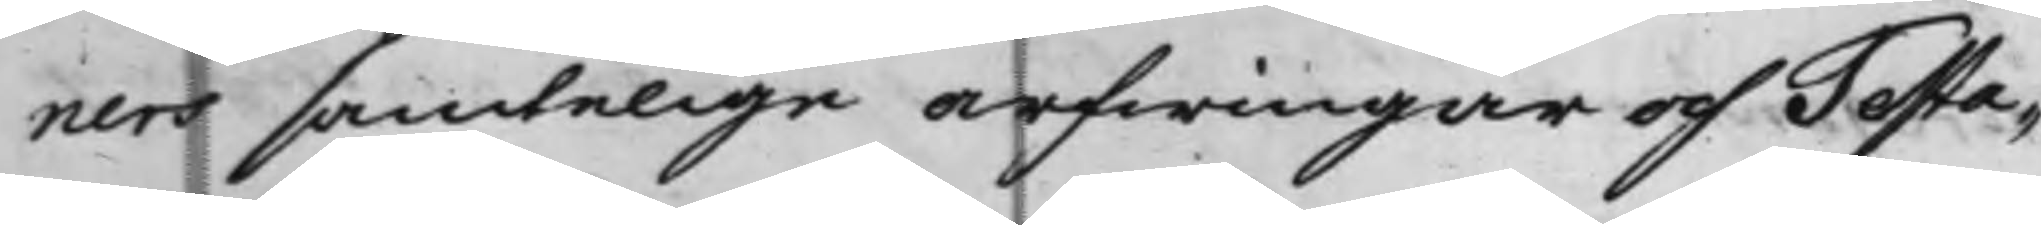ners samtelige arfwingar och Testa¬
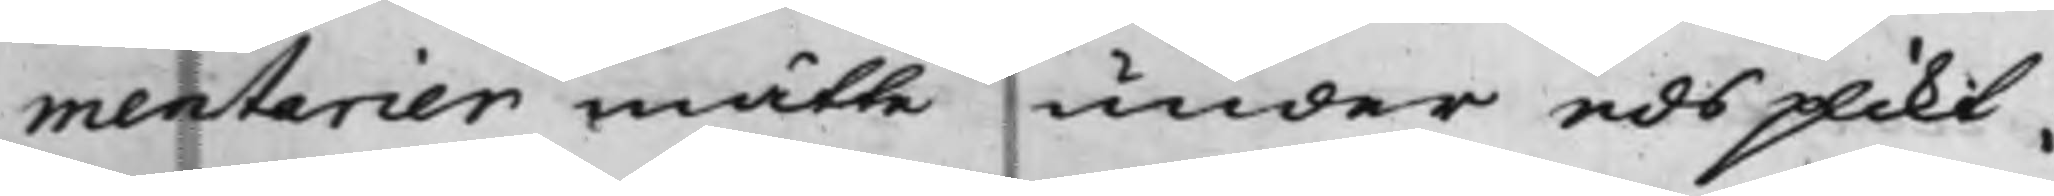mentarier måtte under eds plikt,
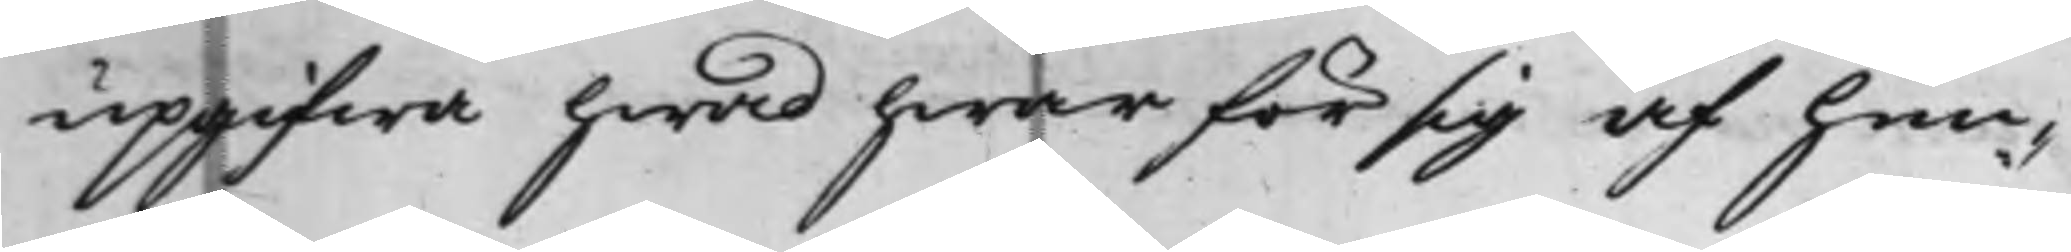uppgifwa hwad hwar för sig af hen¬
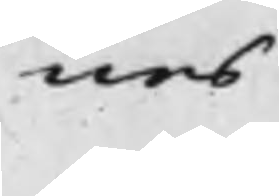nes
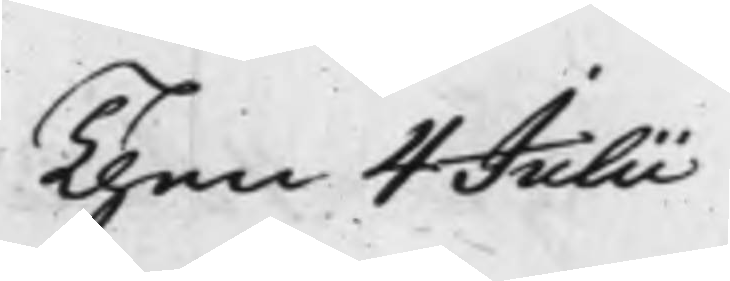Then 4 Julii
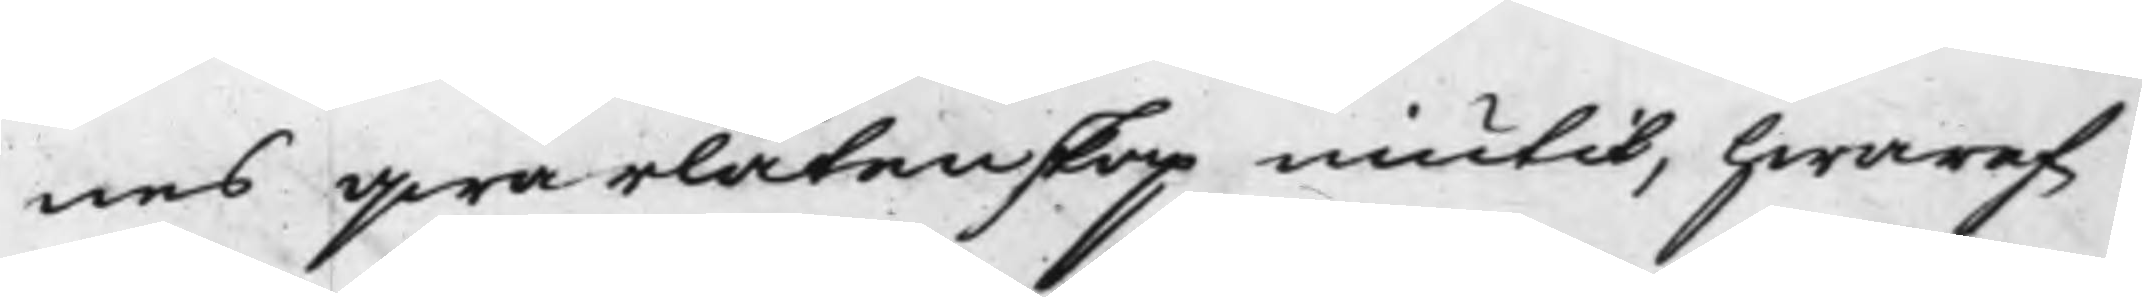nes qwarlåtenskap niutit, hwaref¬
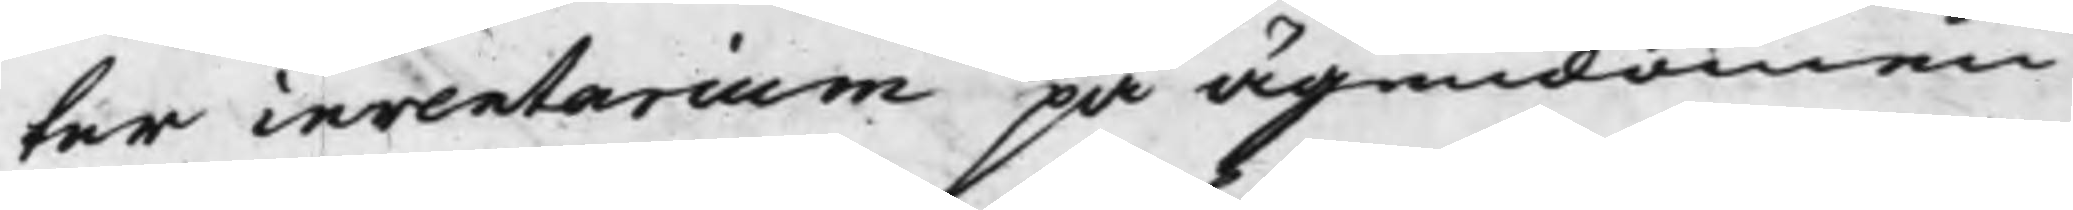ter inventarium på ägendomen
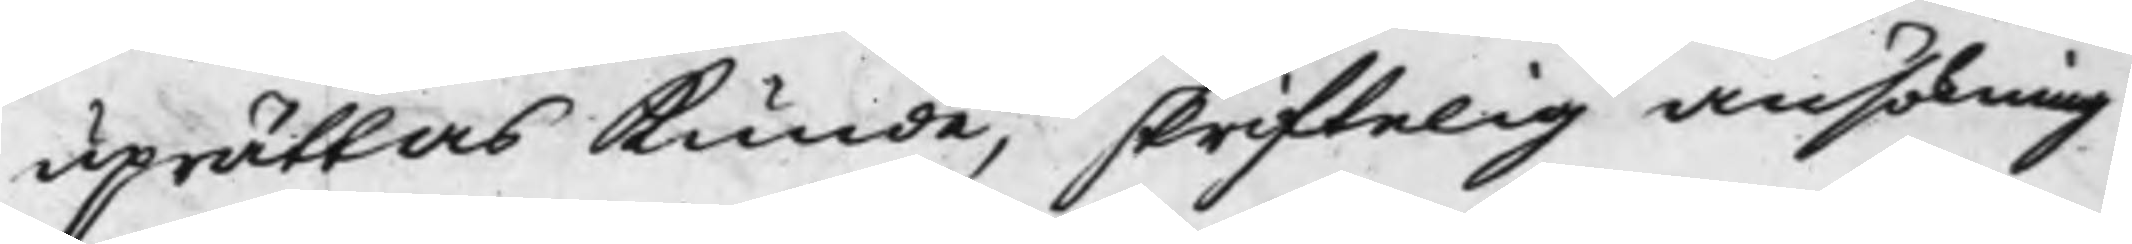uprättas kunde, skriftelig Ansökning
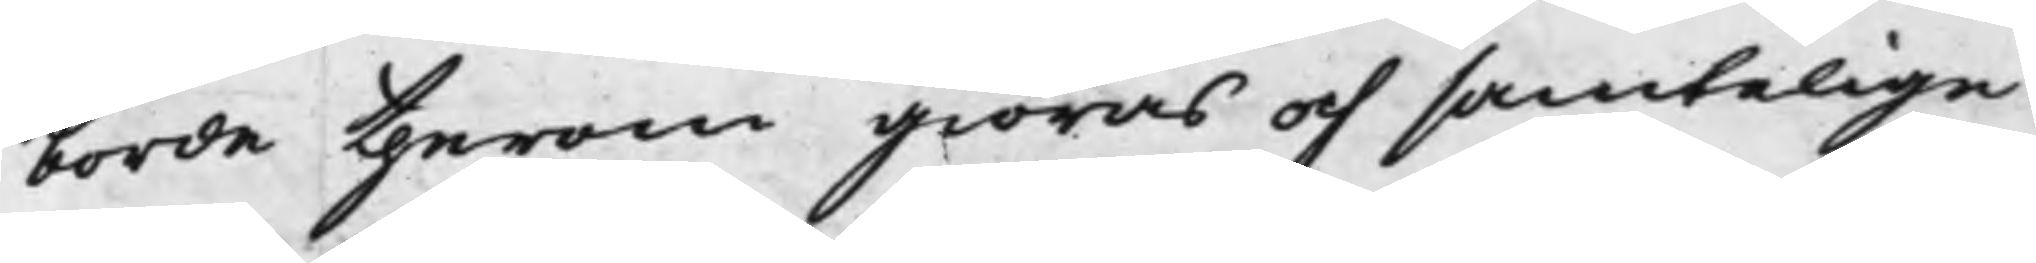borde therom giöras och samtelige
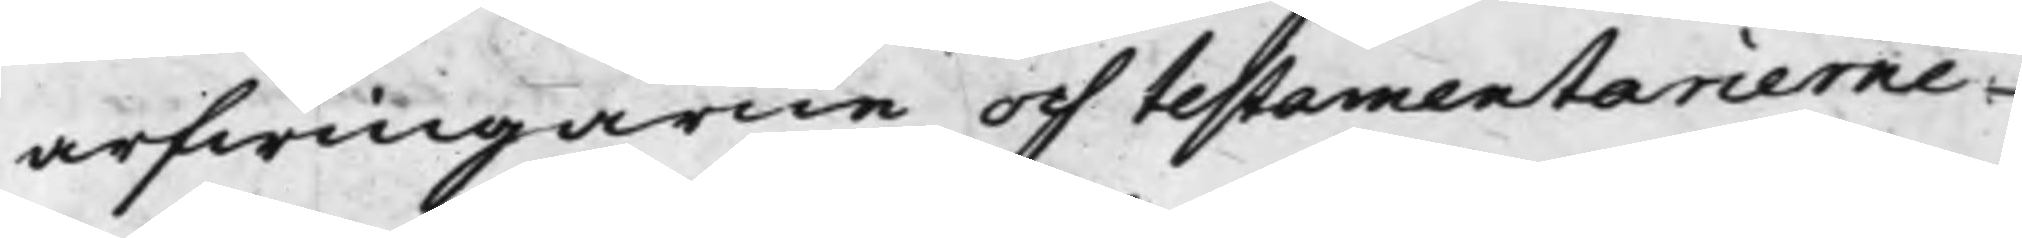arfwingarne och testamentarierne
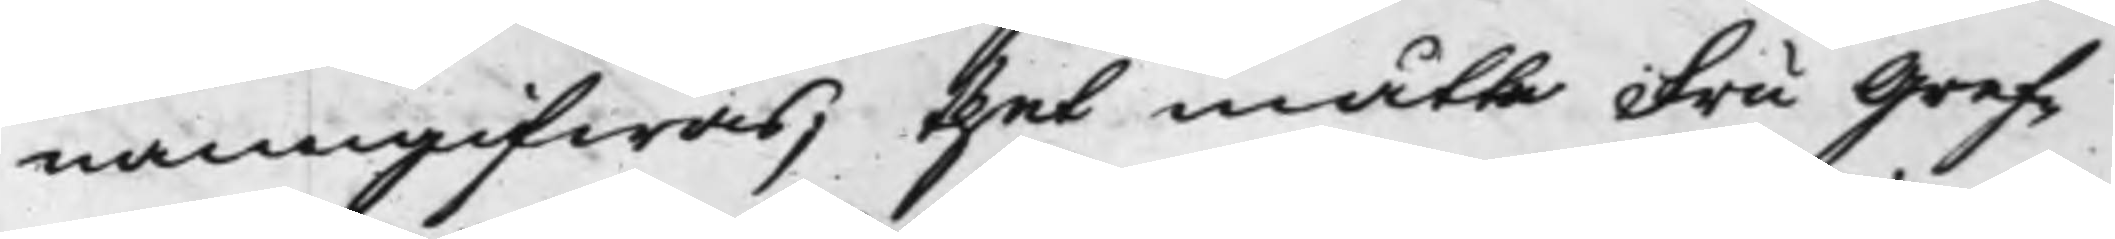namngifwas, thet måtte Fru Gref¬
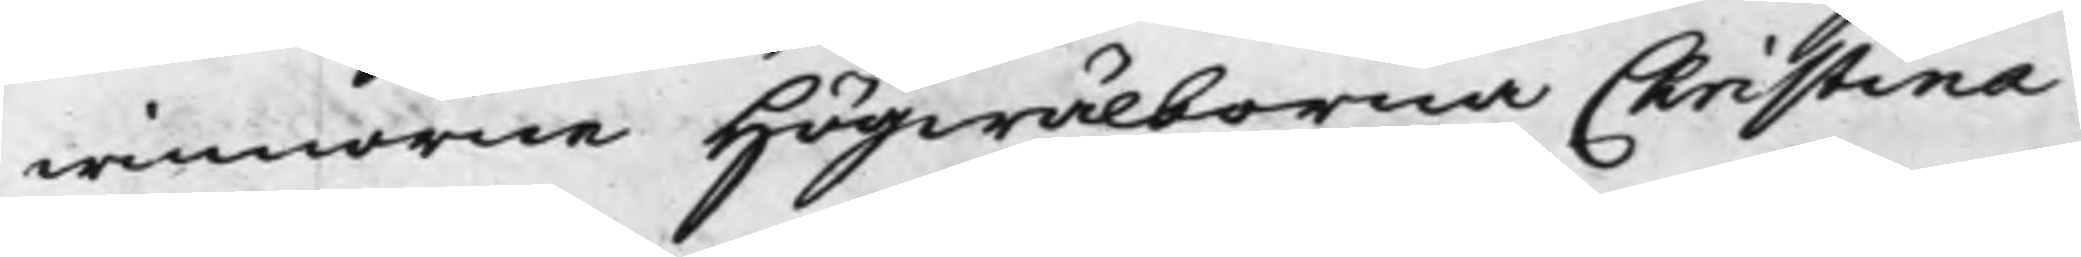winnorne Högwälborna Christina
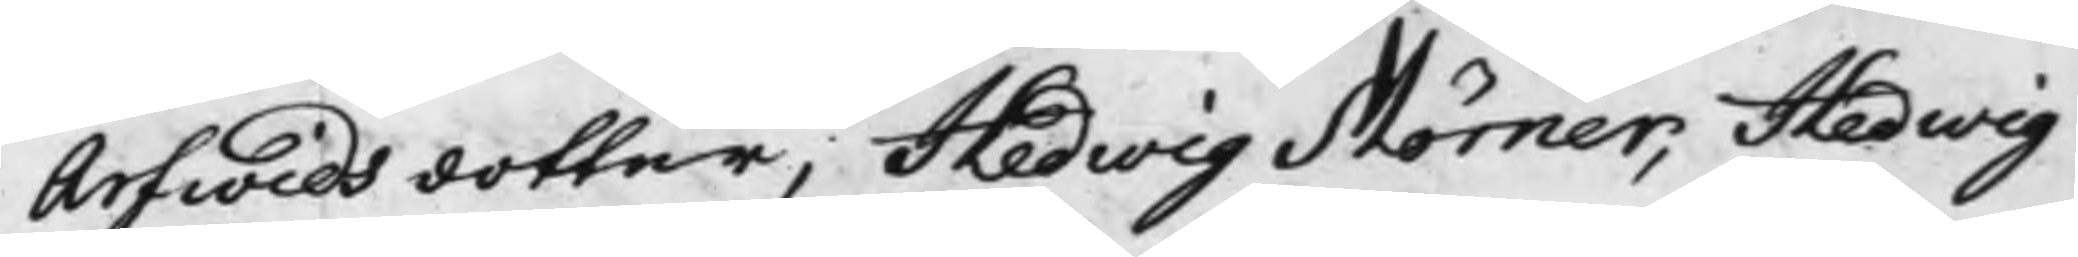Arfwids dotter, Hedwig Mörner, Hedwig
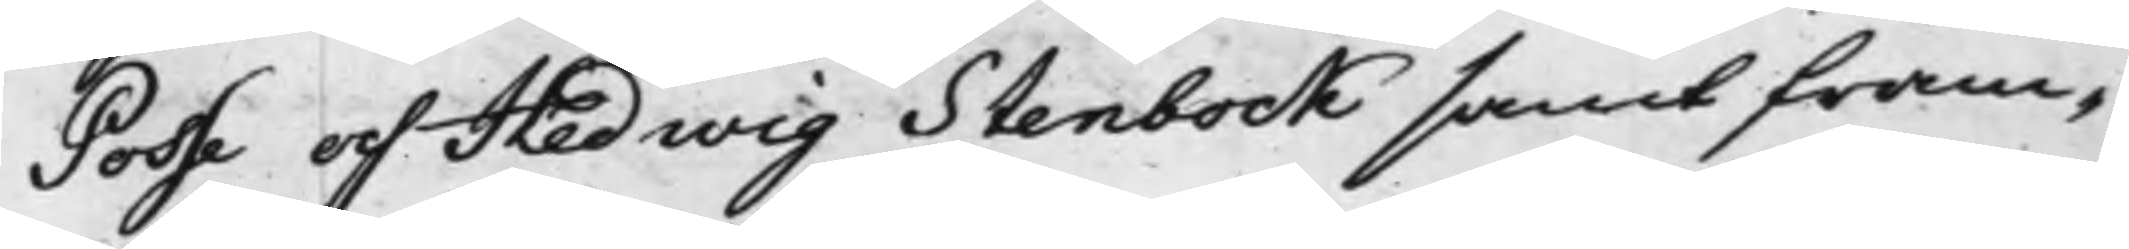Posse och Hedwig Stenbock samt fram¬
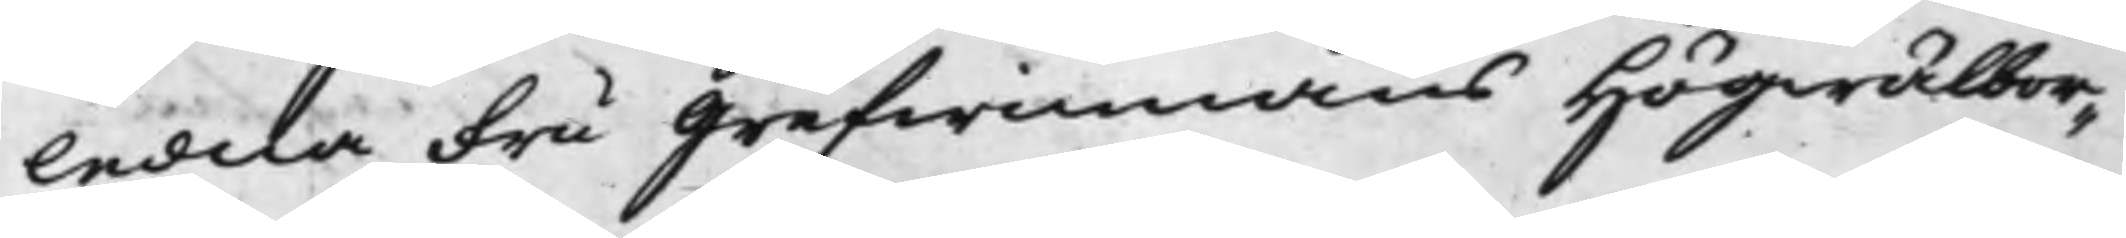ledna Fru Grefwinnans Högwälbor¬
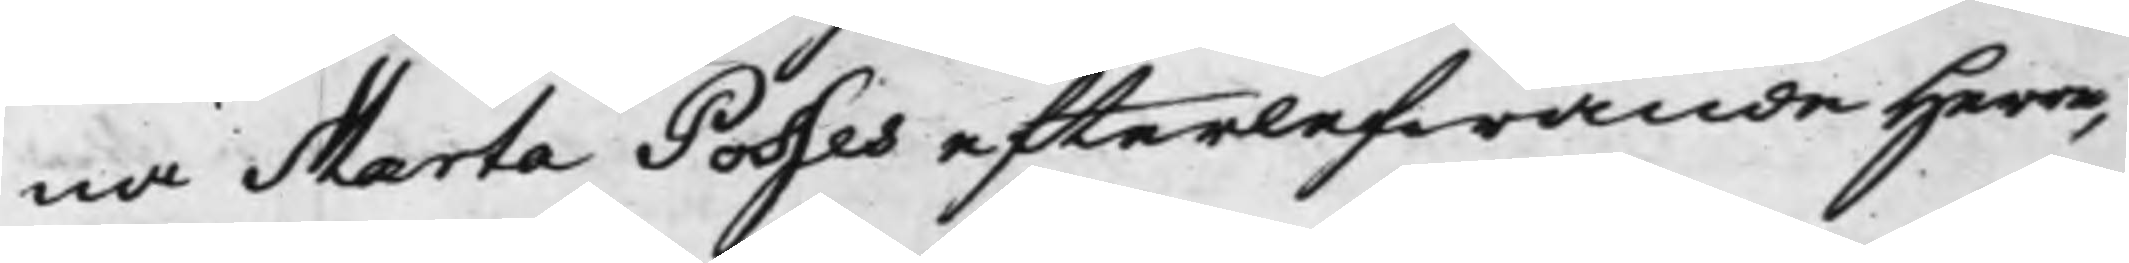na Marta Posses efterlefwande Herre,
